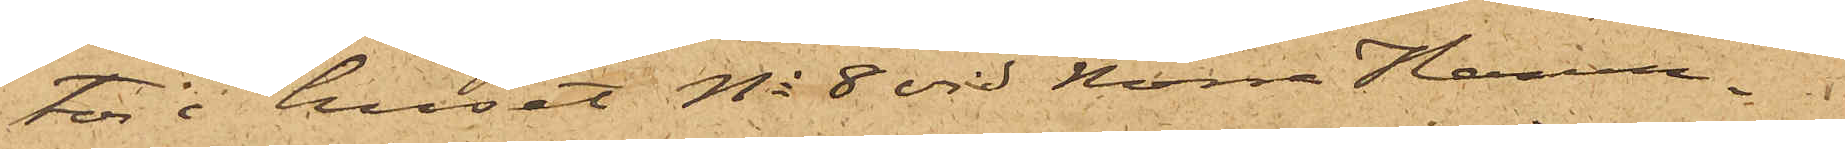tor i huset No 8 vid Norra Hamn¬
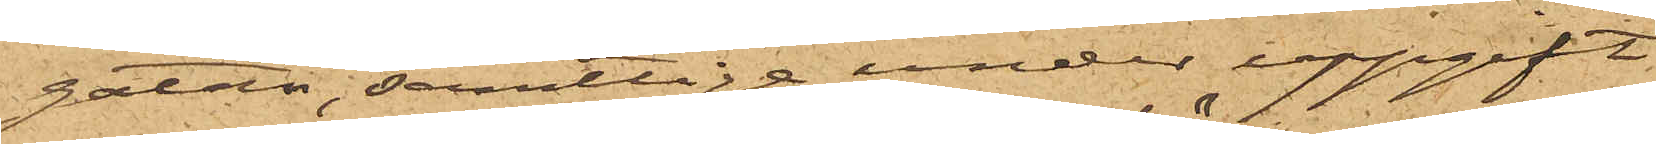gatan; samtlige under uppgift
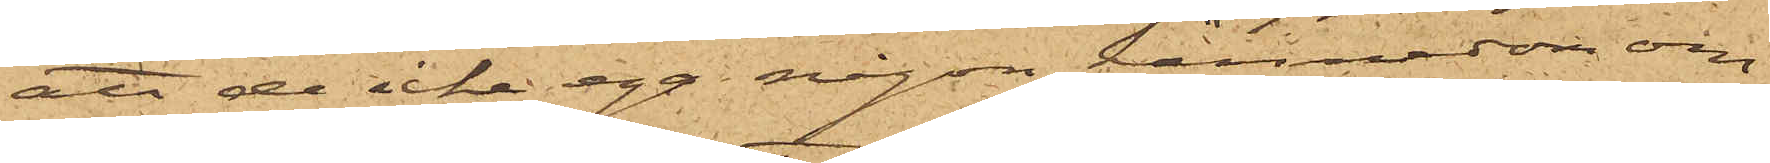att de icke ega någon kännedom om
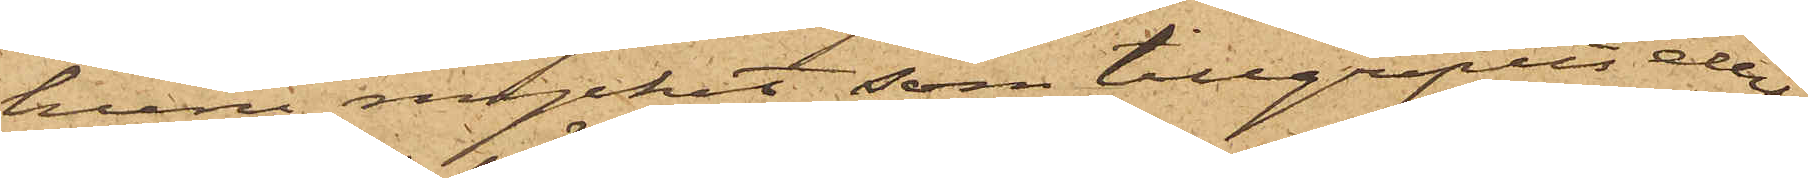huru mycket som tillgripits eller
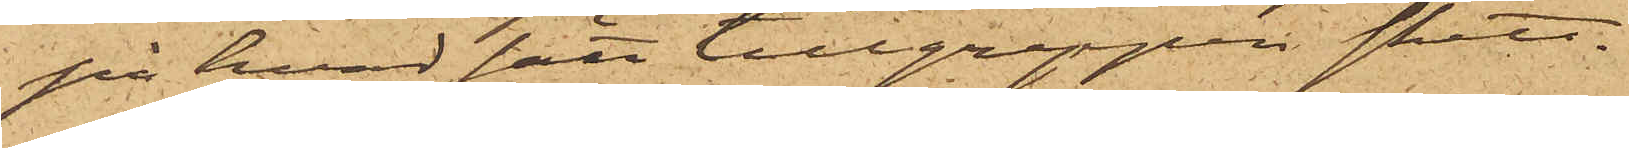på hvad sätt tillgreppen skett.
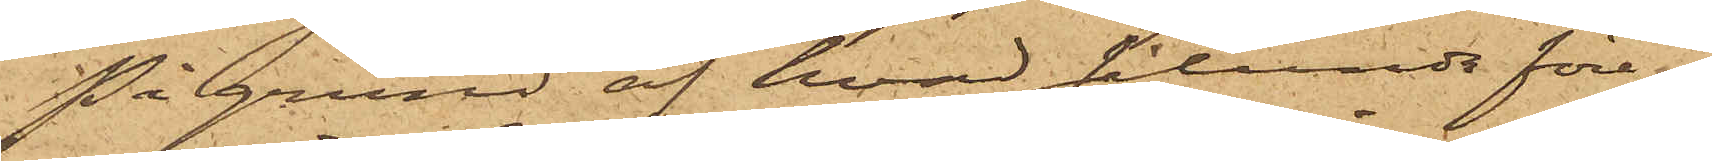På grund af hvad sålunda före¬
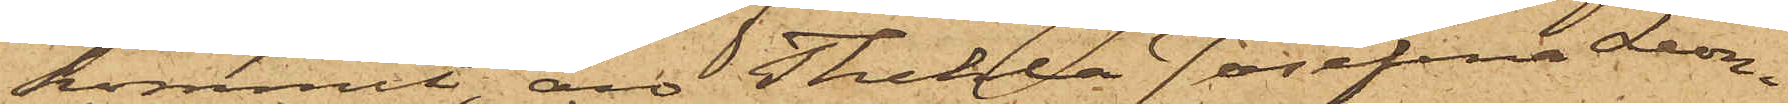kommit, är Thekla Josefina Leon¬
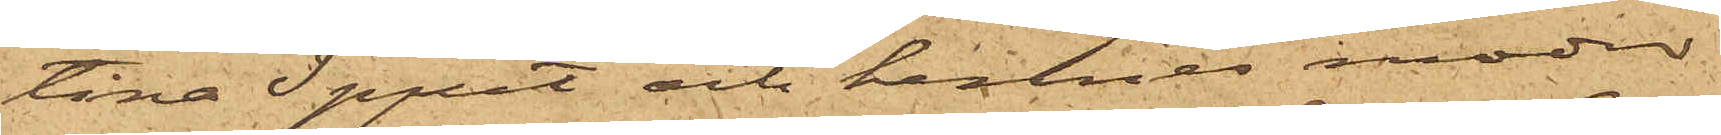tina Spjut och hennes moder
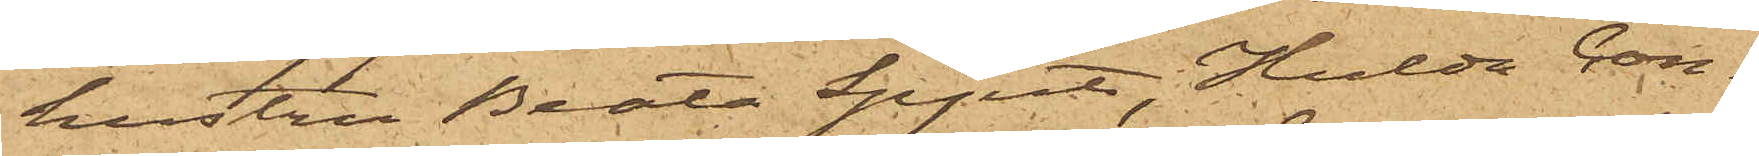hustru Berta Spjut, Hulda Con¬
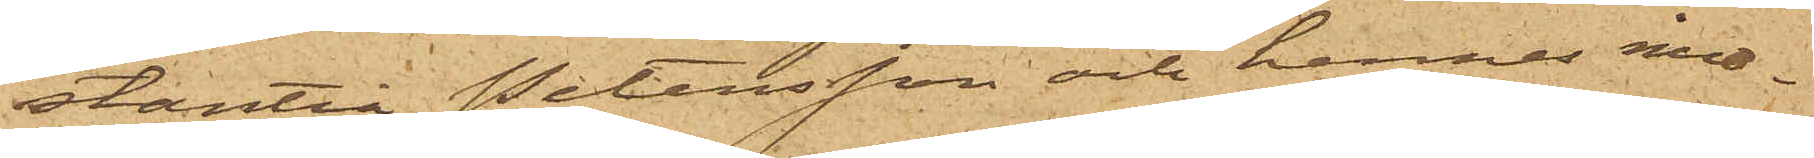stantia Petersson och hennes mod¬
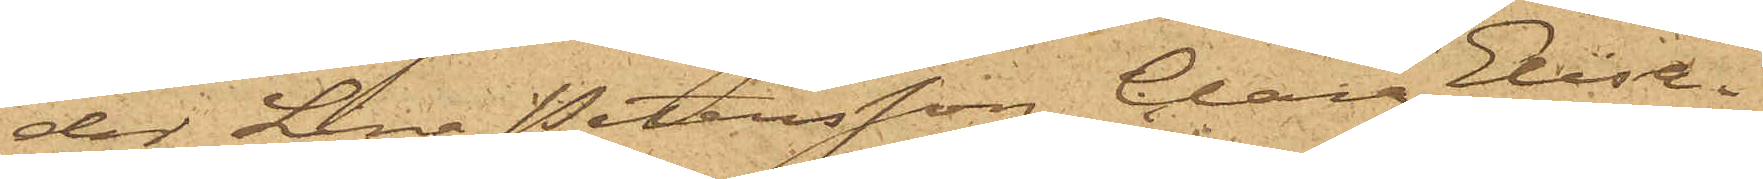der Lina Petersson, Clara Elisa¬
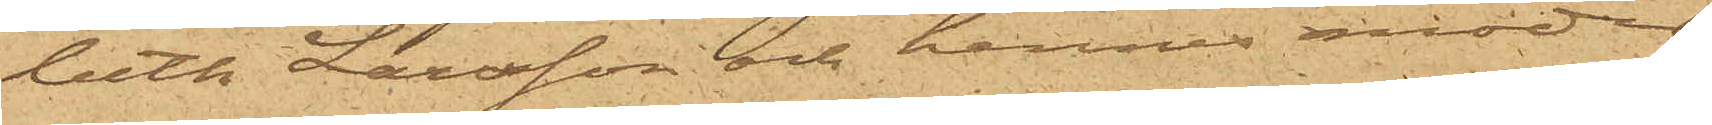beth Larsson och hennes moder
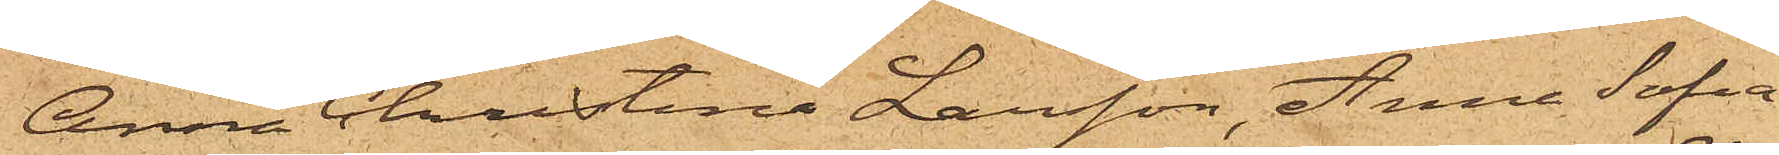Anna Christina Larsson, Anna Sofia
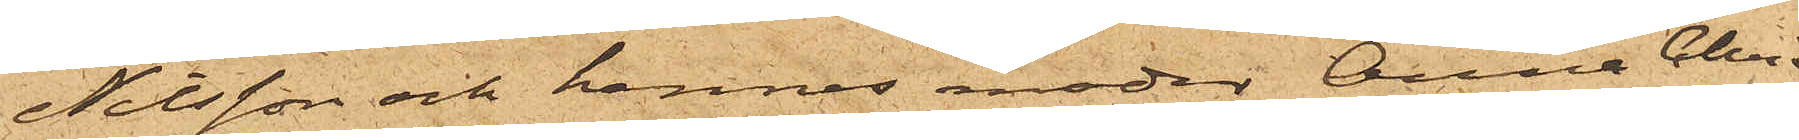Nilsson och hennes moder Anna Chri¬
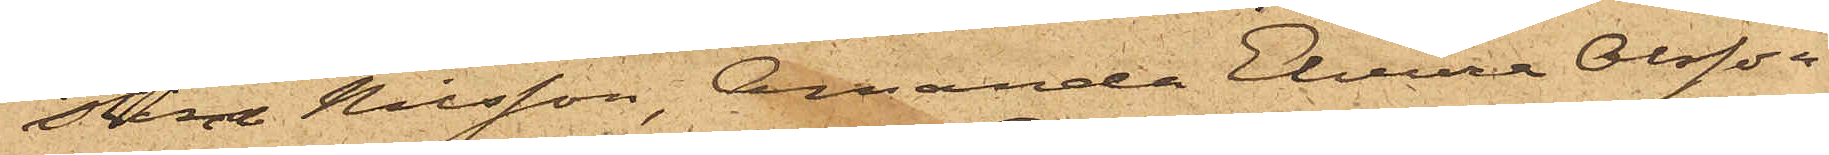stina Nilsson, Amanda Elvira Olsson
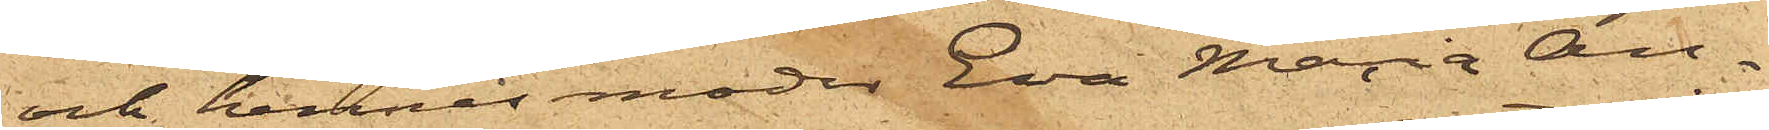och hennes moder Eva Maria An¬
